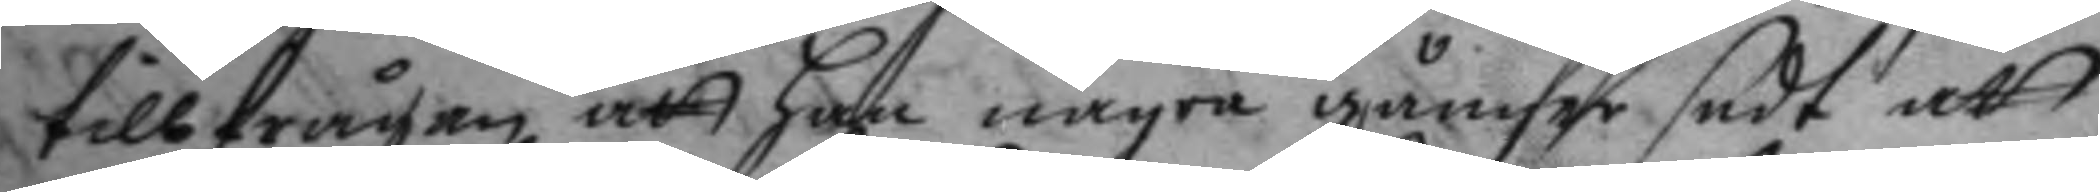tillfrågan att han några gånger sedt att
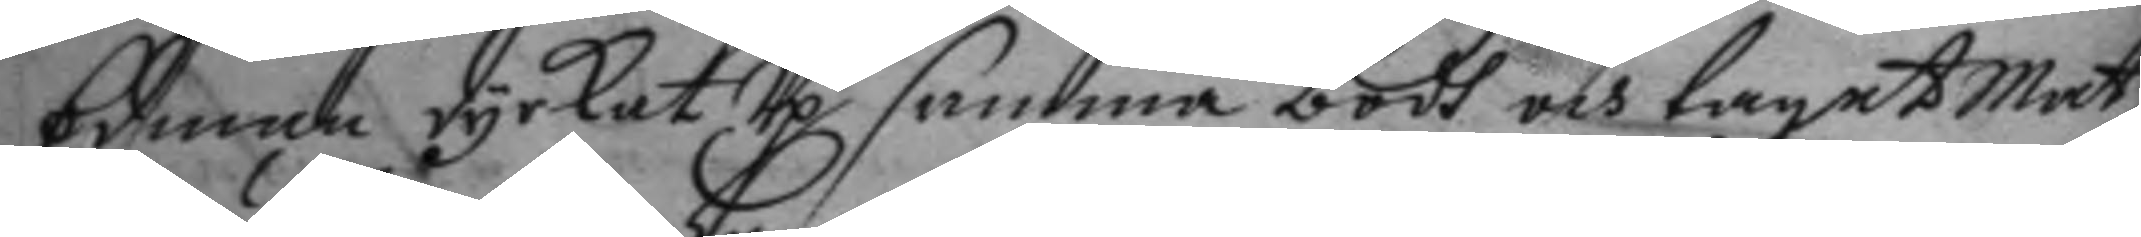Edman dyrkat Up samma bodh och taget mat
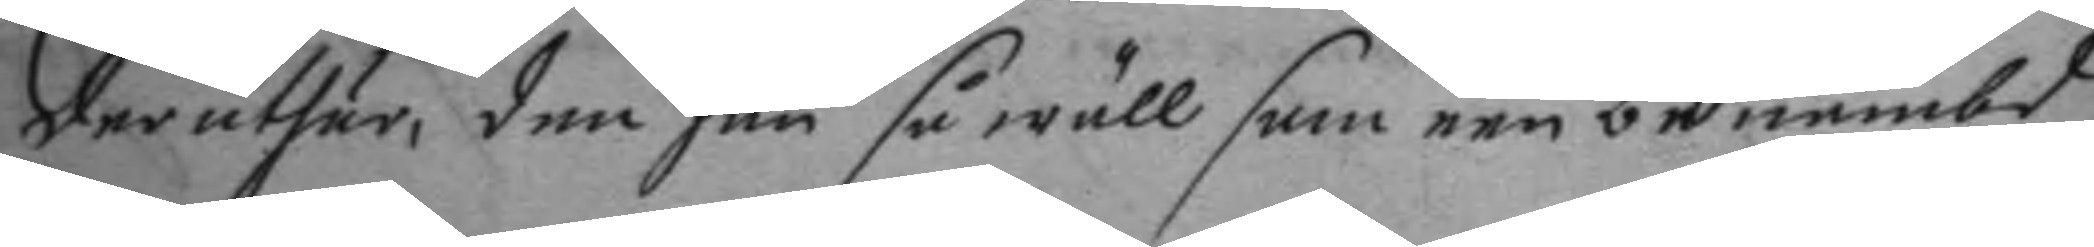der uthur, den han så wäll som een benämbd
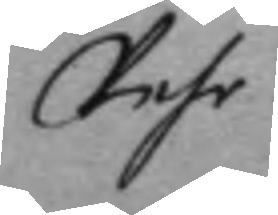Pehr
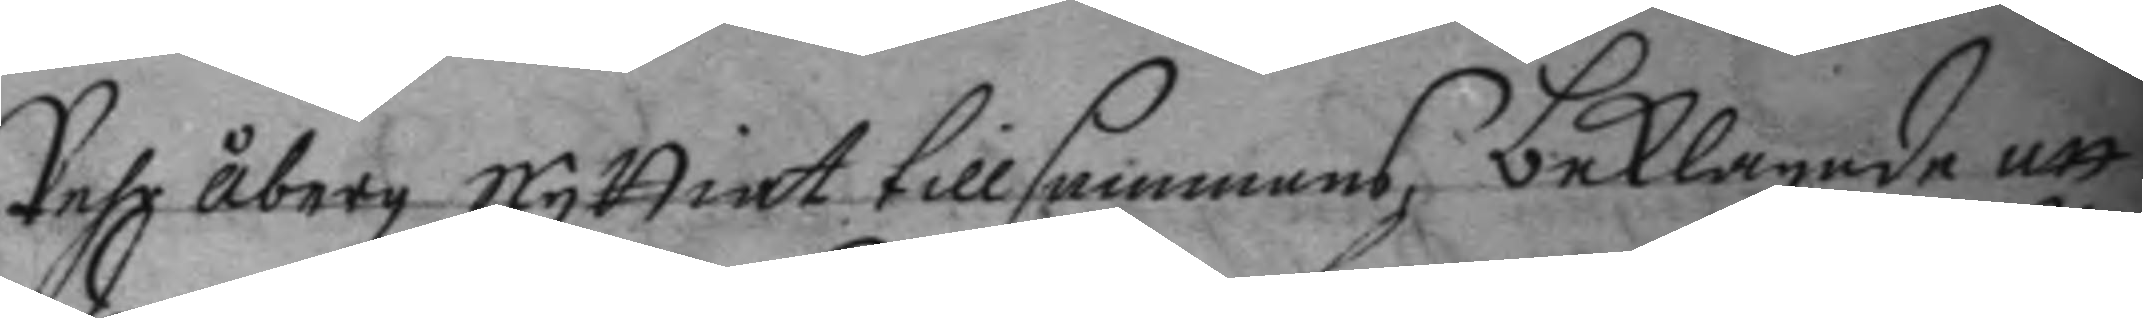Pehr åberg nyttiat tillsammans, beklagade att
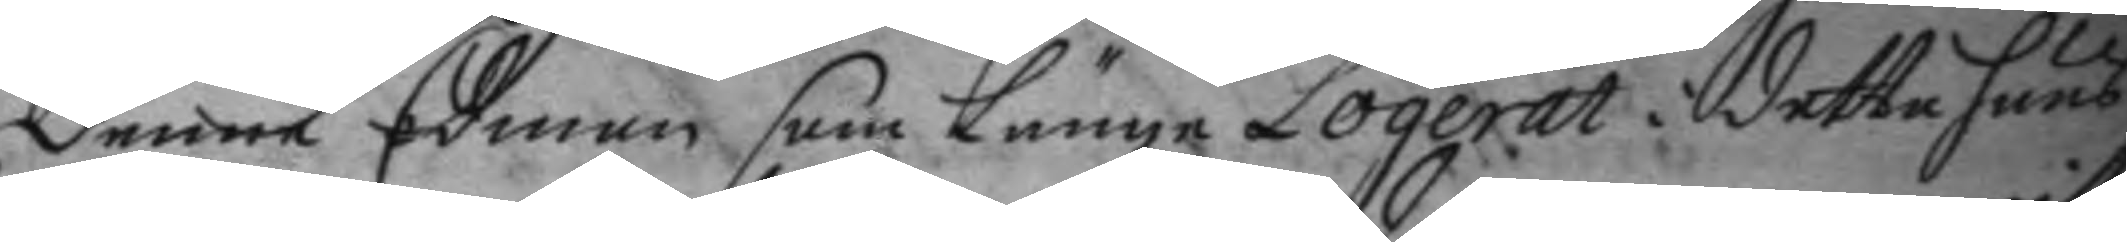denne Edman som Länge Logerat i detta huus
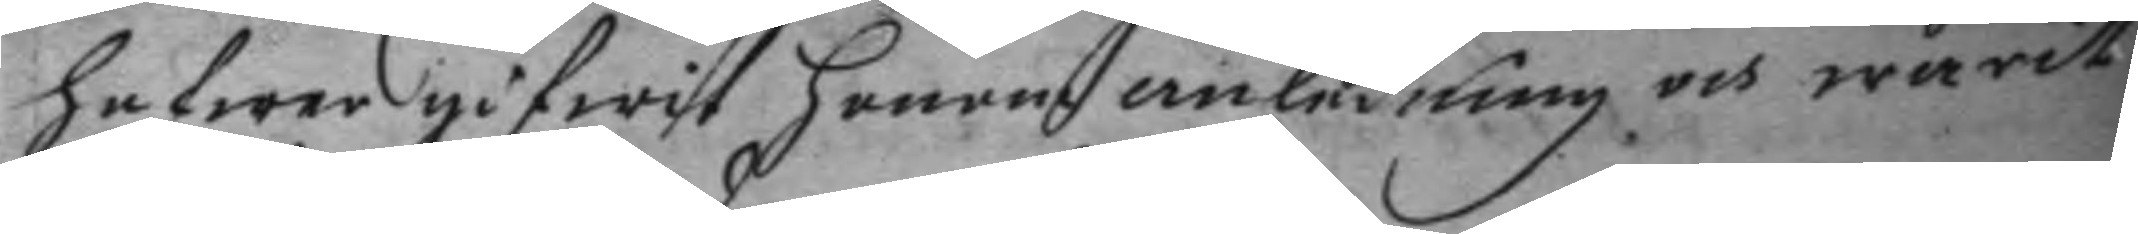hafwer gifwit honom anledning och warit
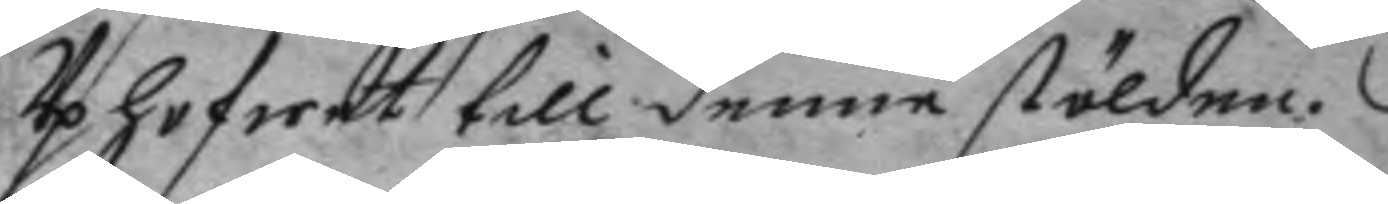Uphofwet till denne stölden.
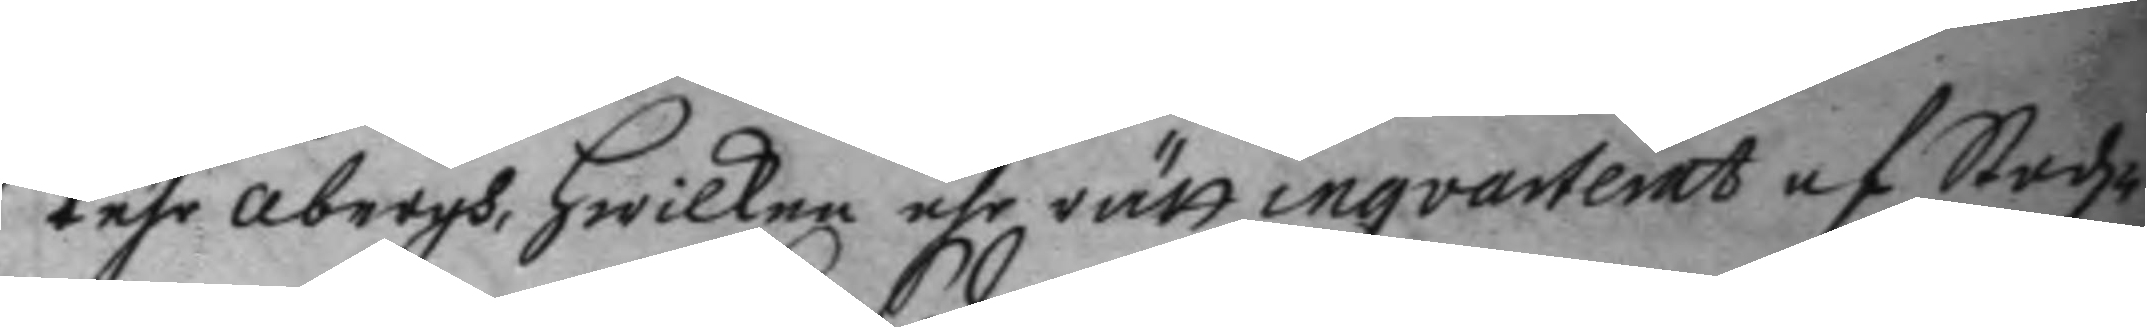Pehr åbergh, hwilken ähr rätt inqvarterat af Stadz¬
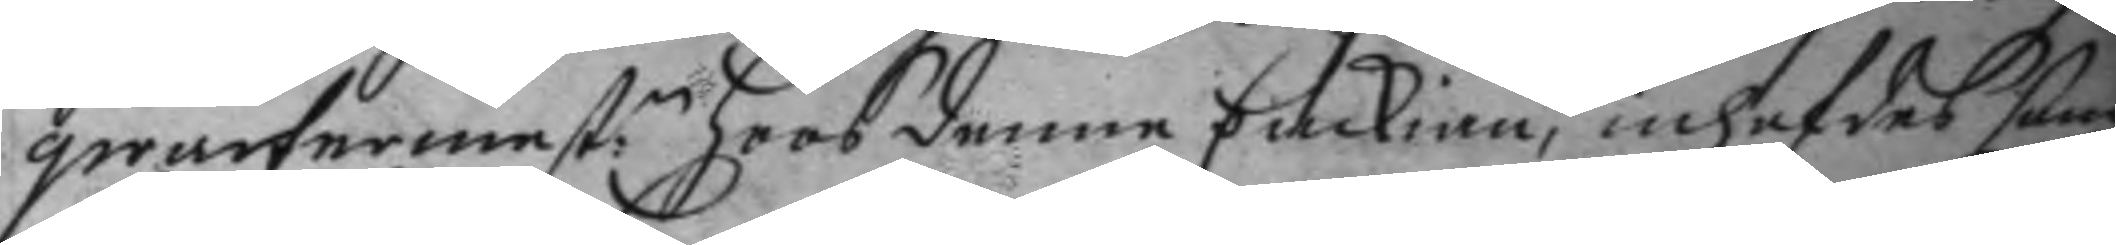qwartermest:n hoos denne Enckian, inhafdes som
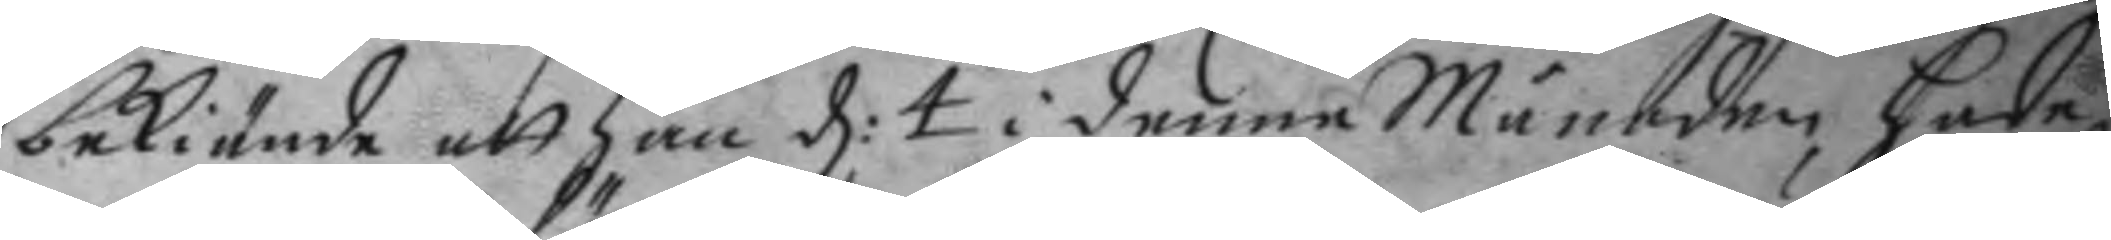bekiende att han d; 4 i denne Månaden hade
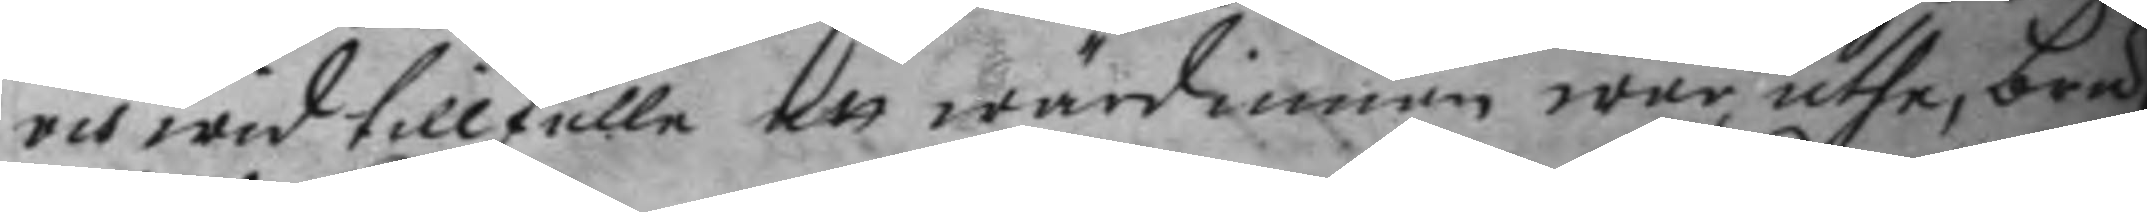och wid tillfälle att wärdinnan war uthe, bru¬
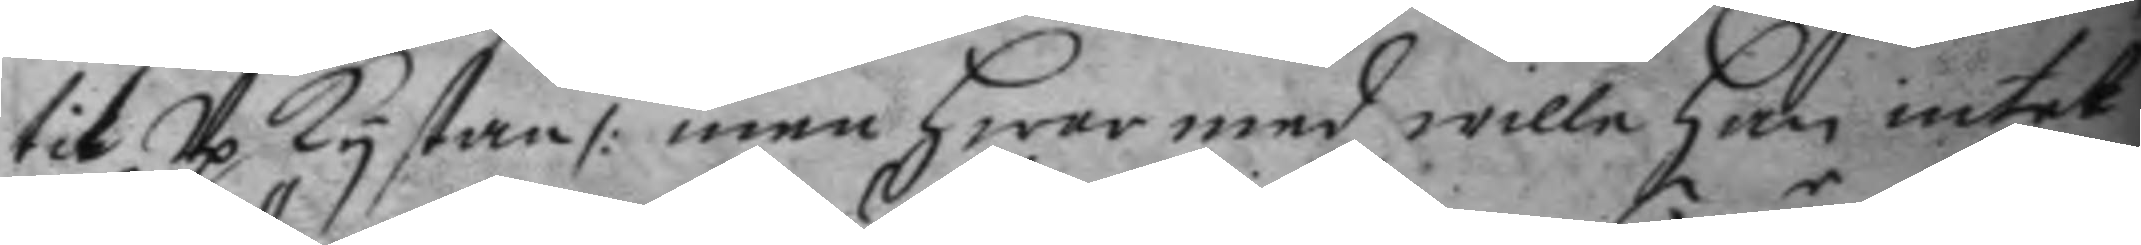tit Up kystan /: men hwar med wille han intet
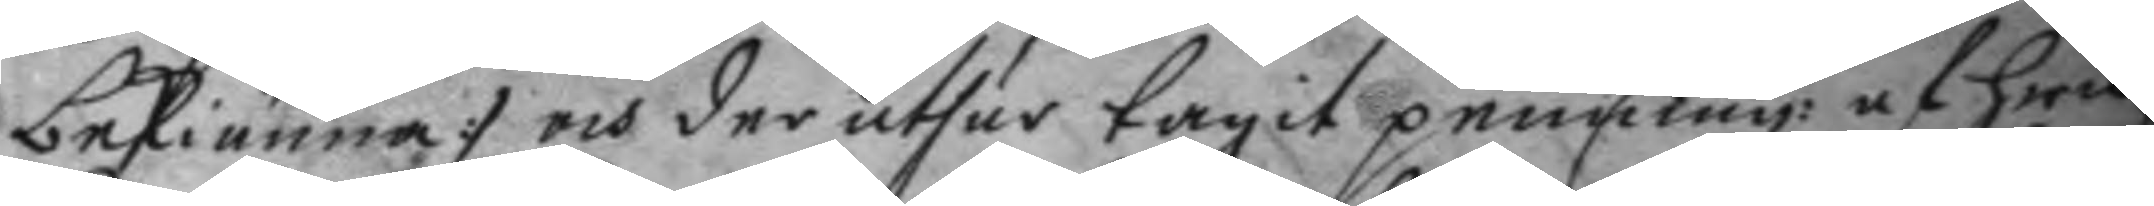bekiänna :/ och der uthur tagit penning:r af hwil¬
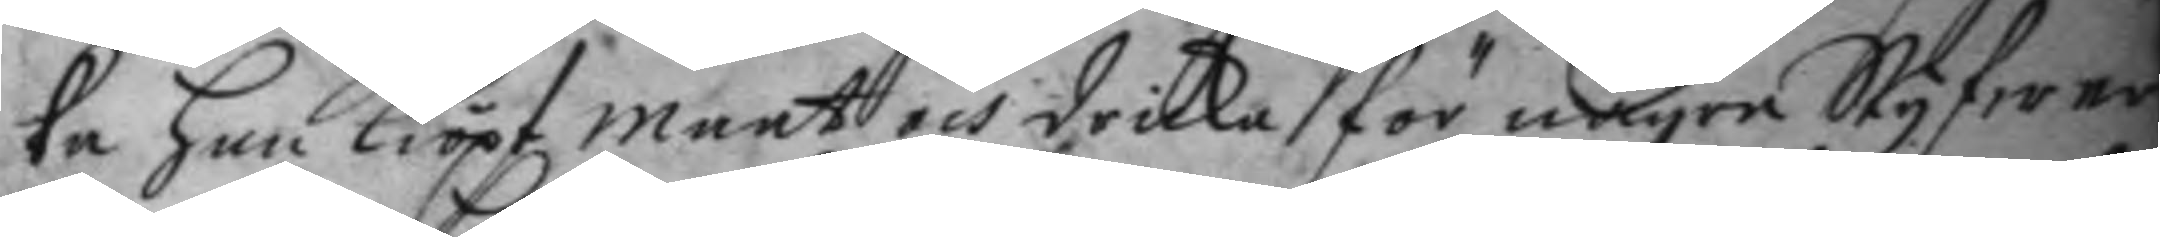ka han kiöpt maat och dricka för någre Styfwer
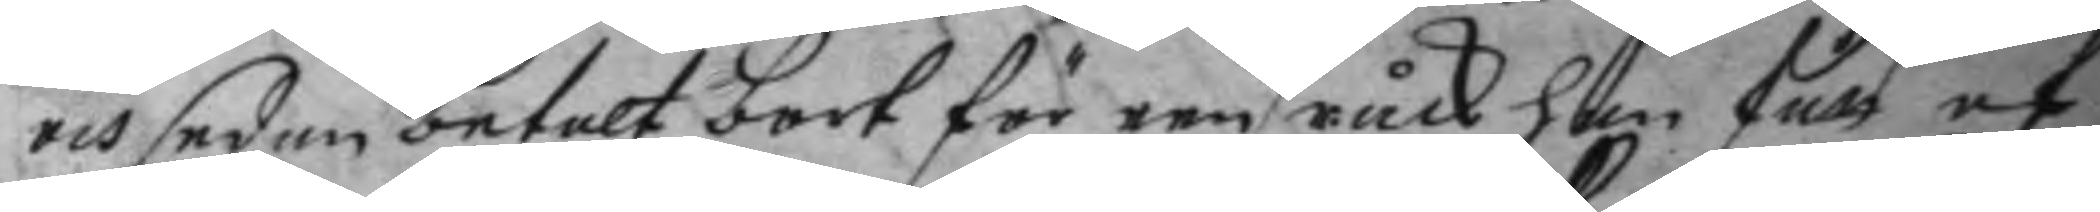och sedan betalt bort för een råck han fått af
